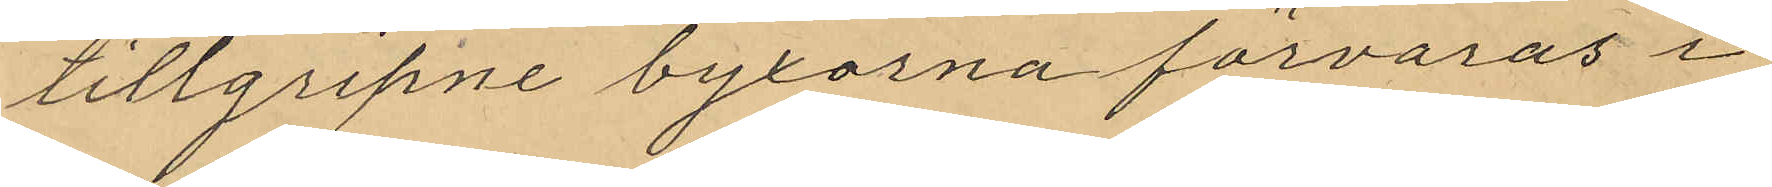tillgripne byxorna förvaras i
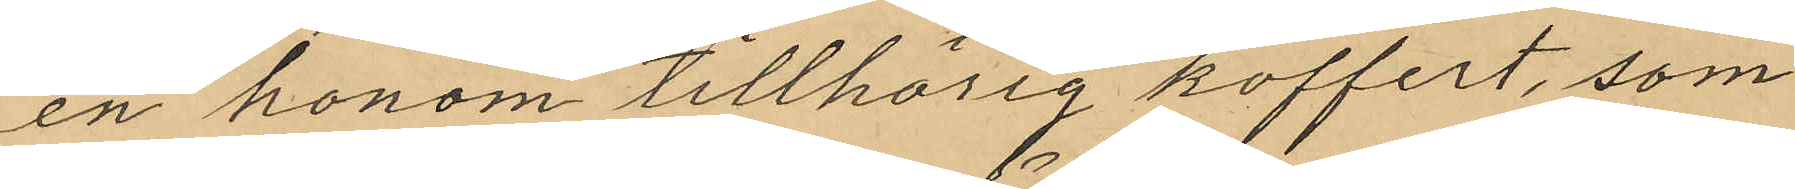en honom tillhörig koffert, som
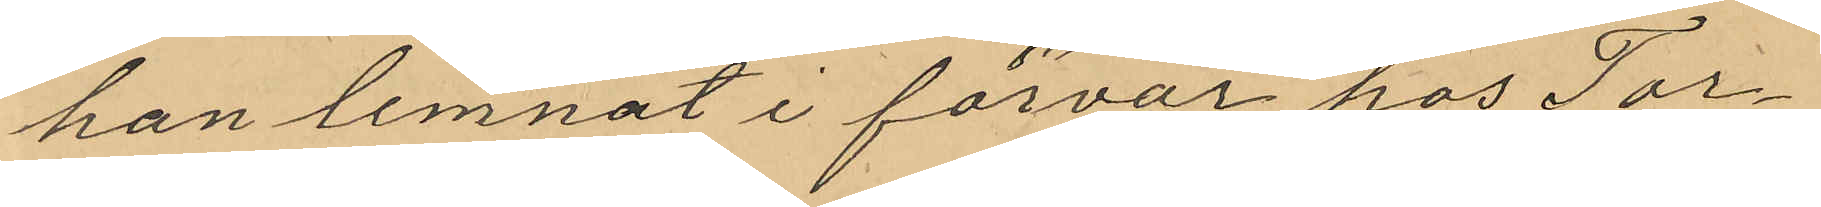han lemnat i förvar hos Tor¬
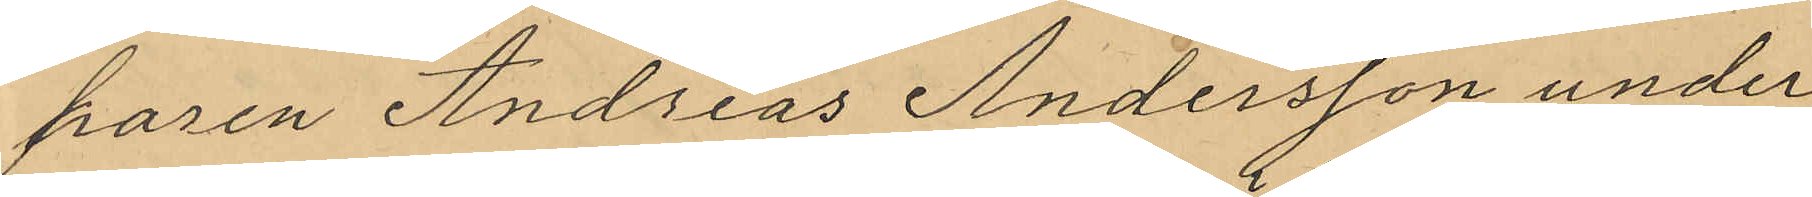paren Andreas Andersson under
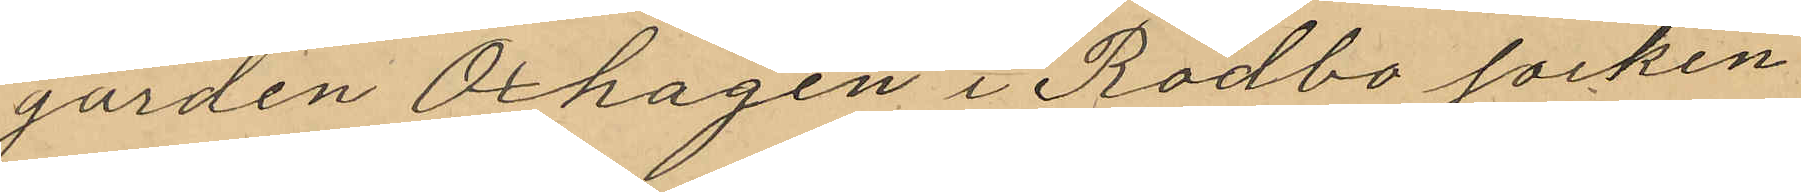gården Oxhagen i Rödbo socken
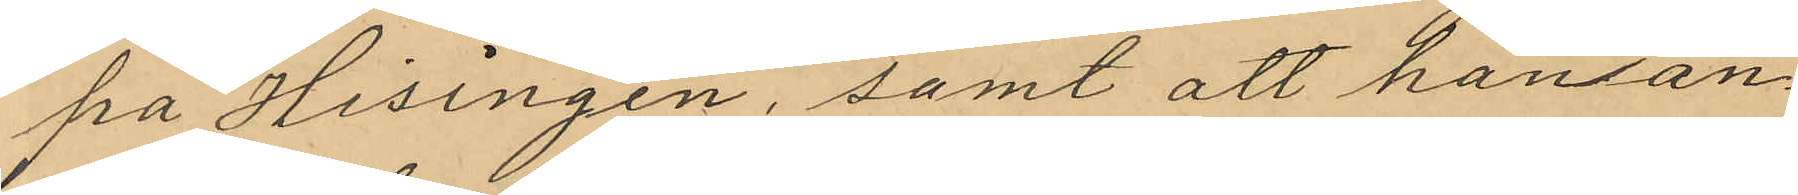på Hisingen, samt att han an¬
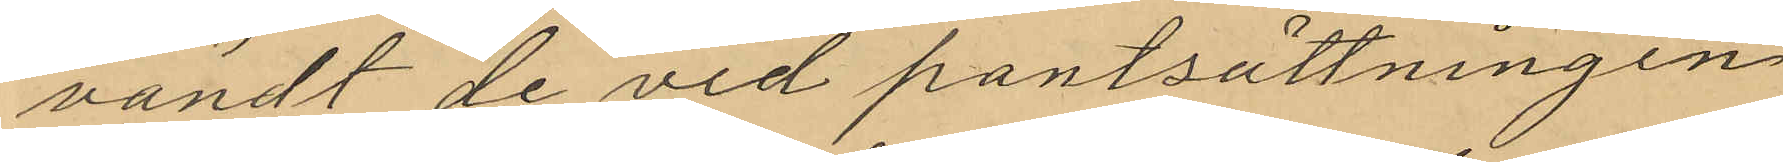vändt de vid pantsättningen
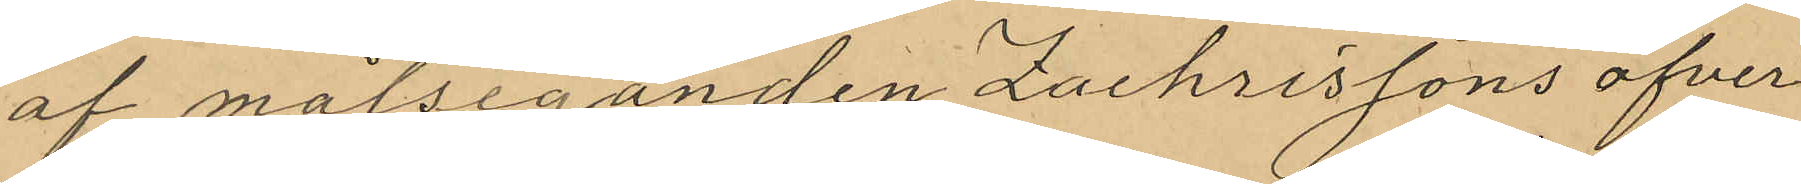af målseganden Zachrissons öfver¬
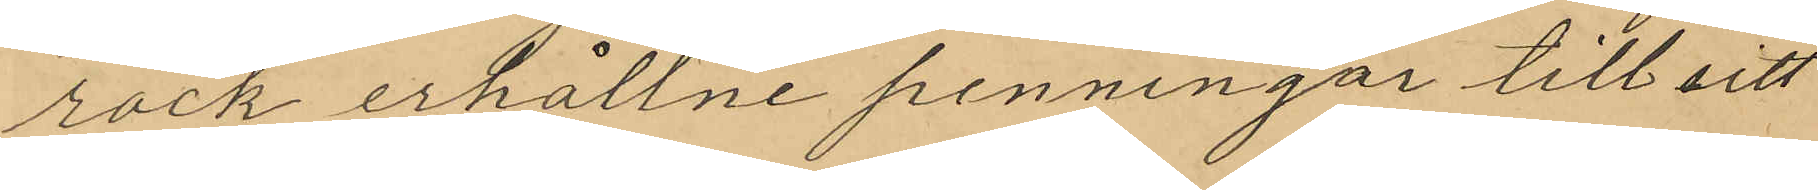rock erhållne penningar till sitt
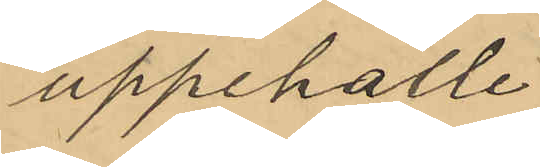uppehälle.
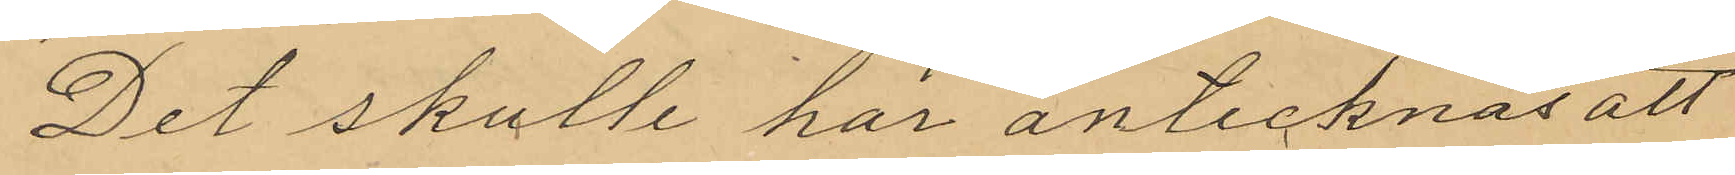Det skulle här antecknas att
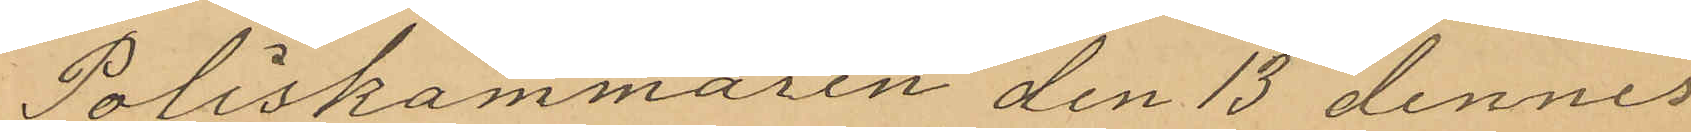Poliskammaren den 13 dennes
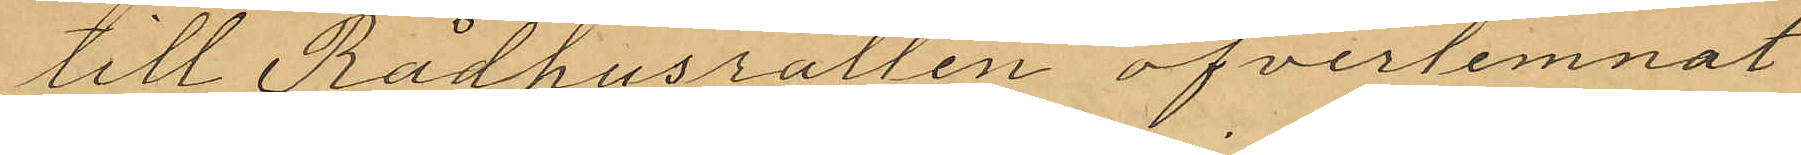till Rådhusrätten öfverlemnat
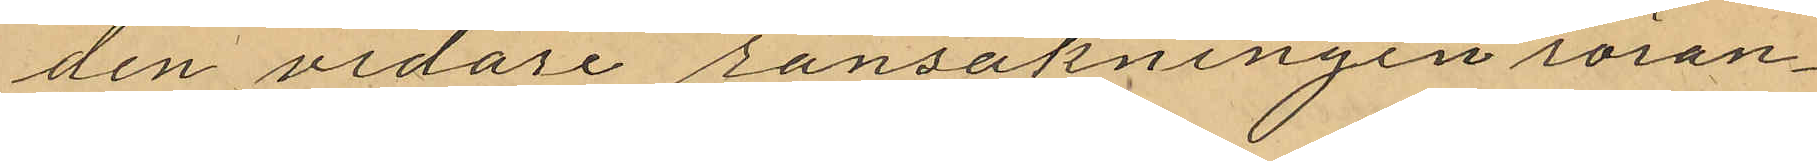den vidare ransakningen röran¬
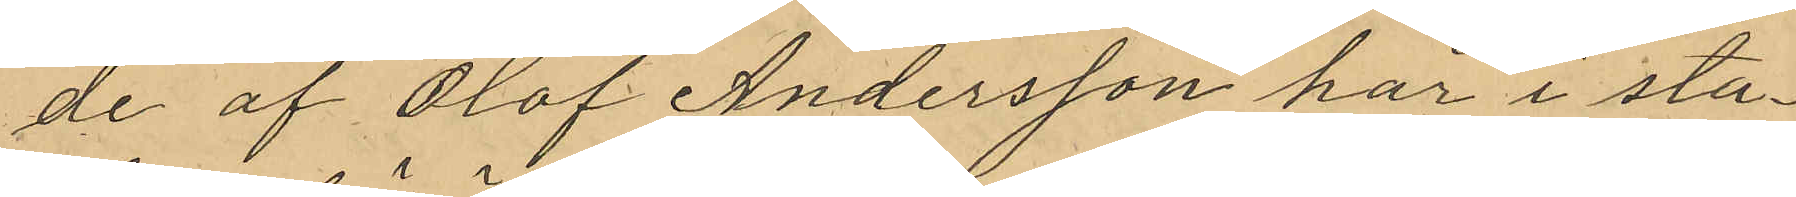de af Olof Andersson här i sta¬
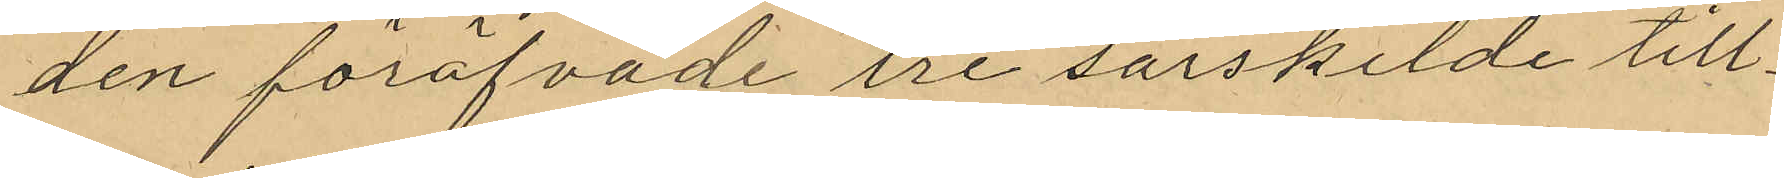den föröfvade tre särskilde till¬
